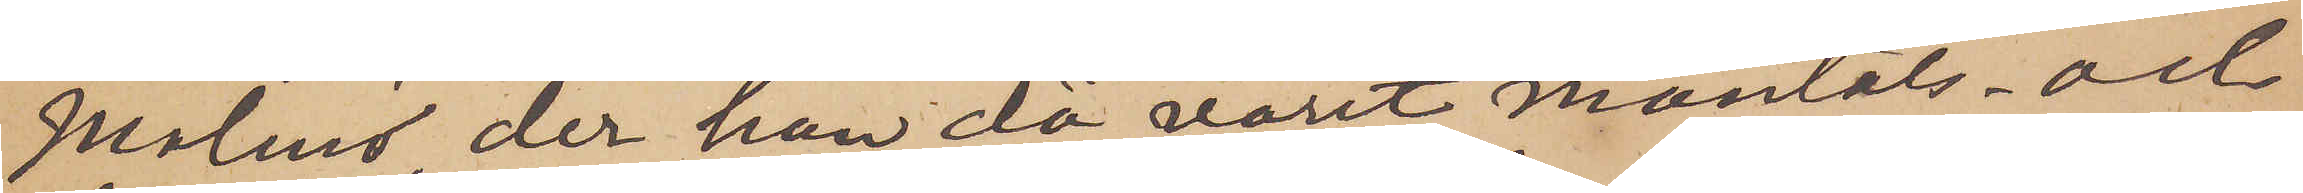Malmö, der han då varit mantals- och
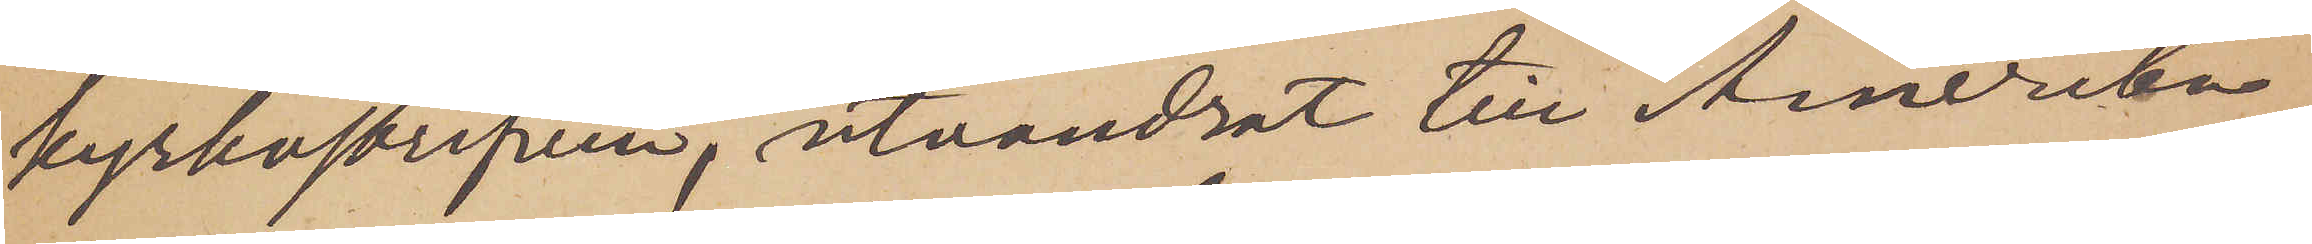kyrkoskrifven, utvandrat till Amerika;
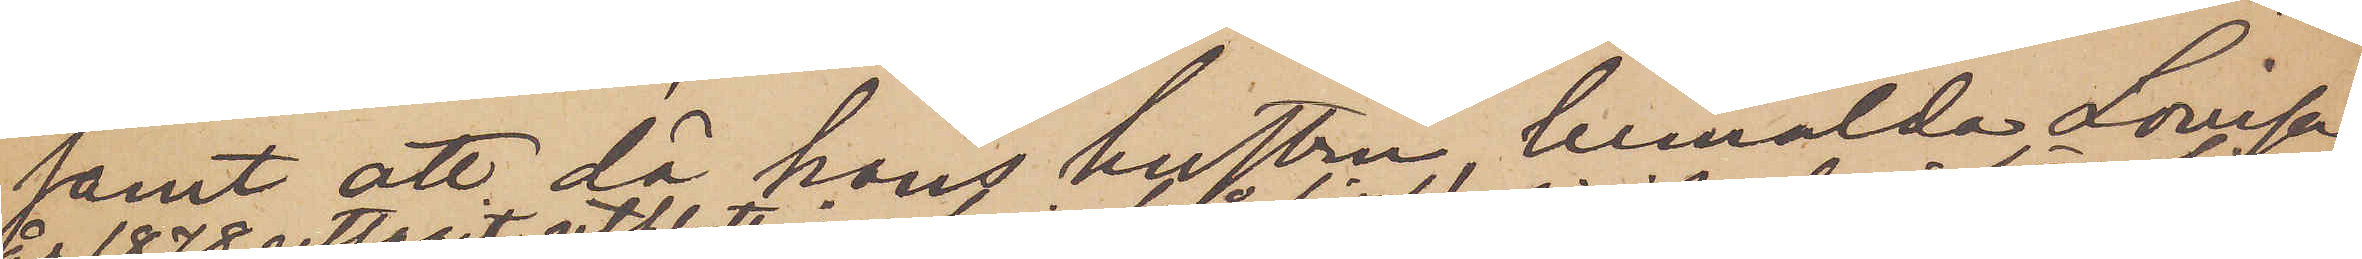samt att då hans hustru, bemälda Lovisa
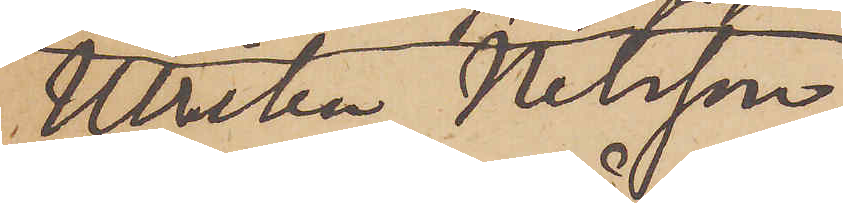Ulrika Nilsson,
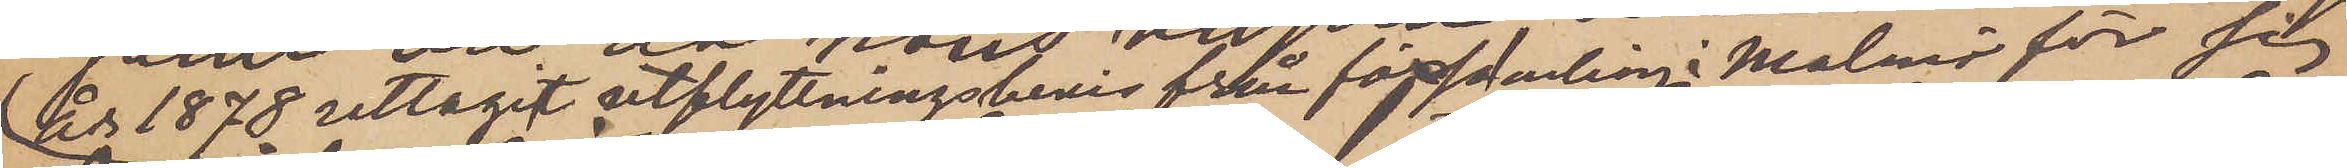år 1878 uttagit utflyttningsbevis från församling i Malmö för sig
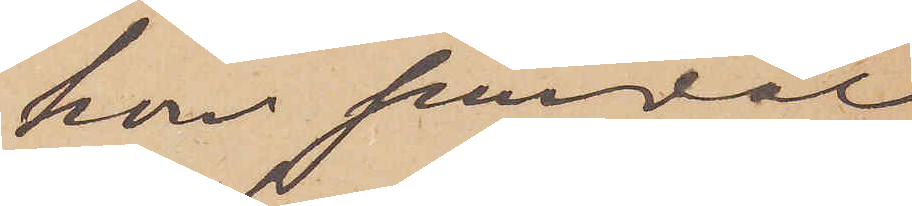hon jemväl
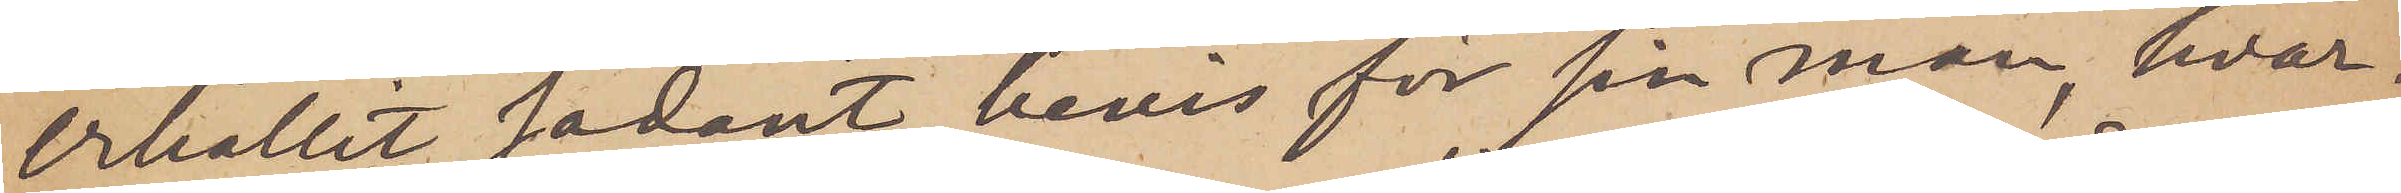erhållit sådant bevis för sin man, hvar¬
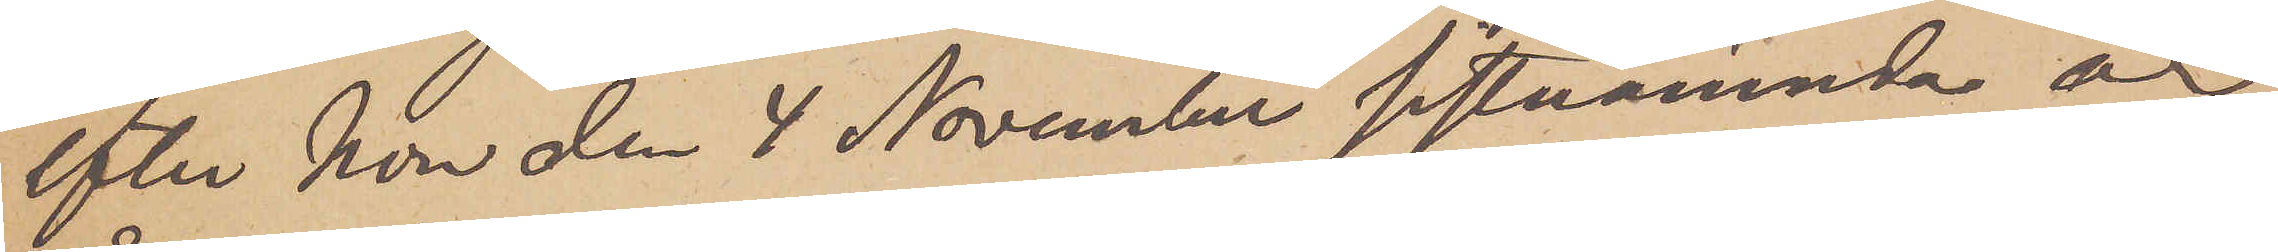efter hon den 4 November sistnämnda är
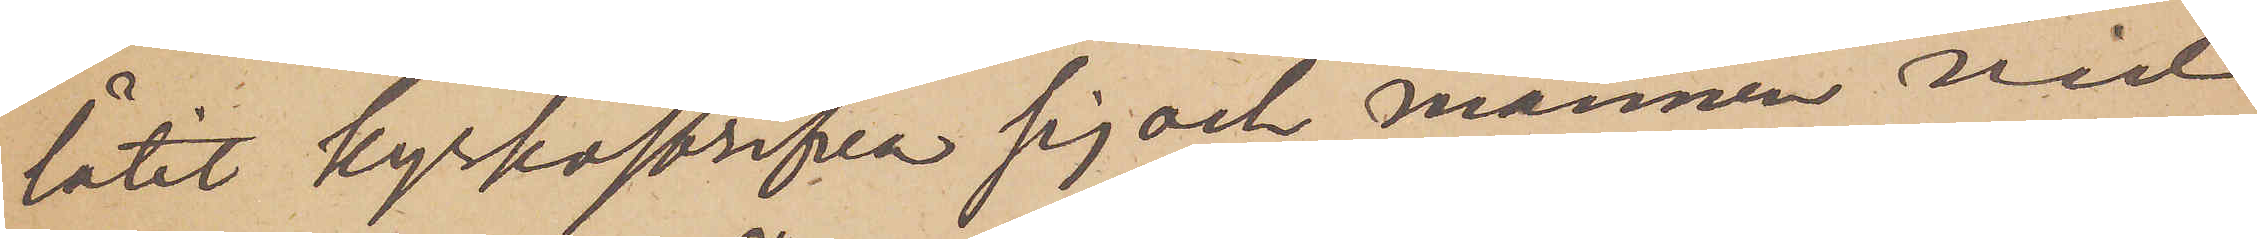låtit kyrkoskrifva sig och mannen vid
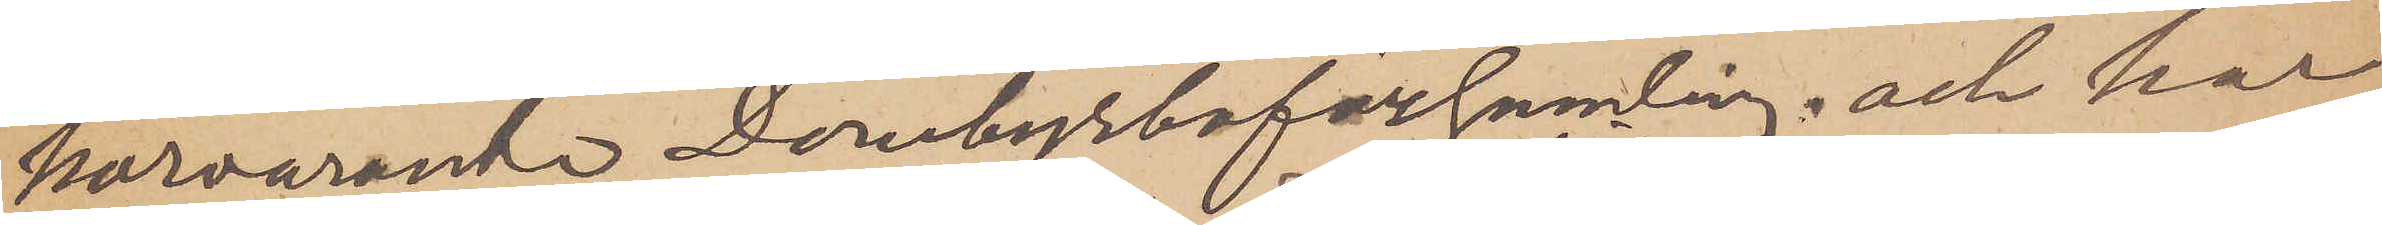härvarande Domkyrkoförsamling; och har
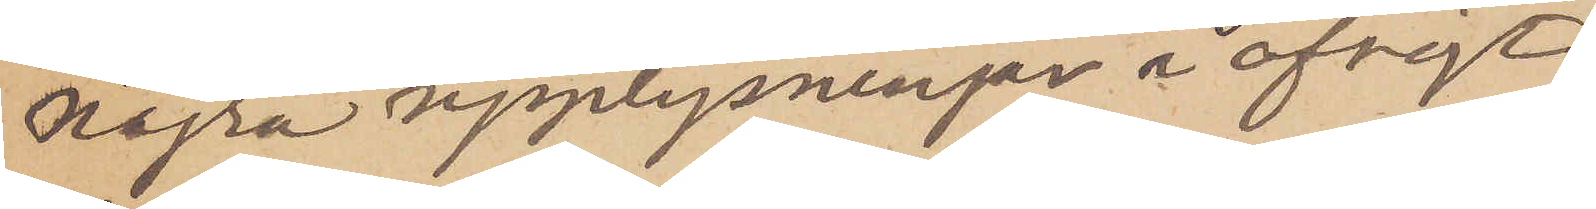nögra upplysningar i öfrigt
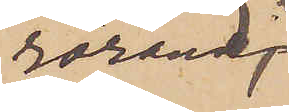rörande
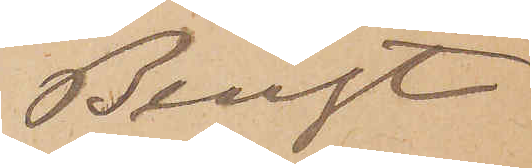Bengt
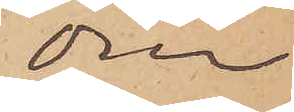om
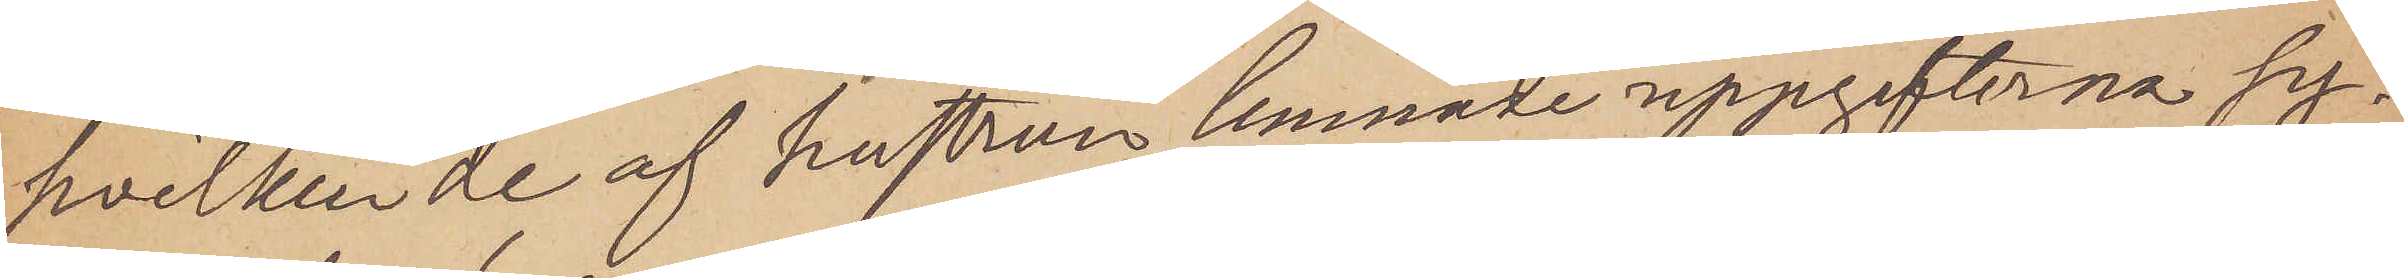hvilken de af hustrun lemnade uppgifterna sy¬
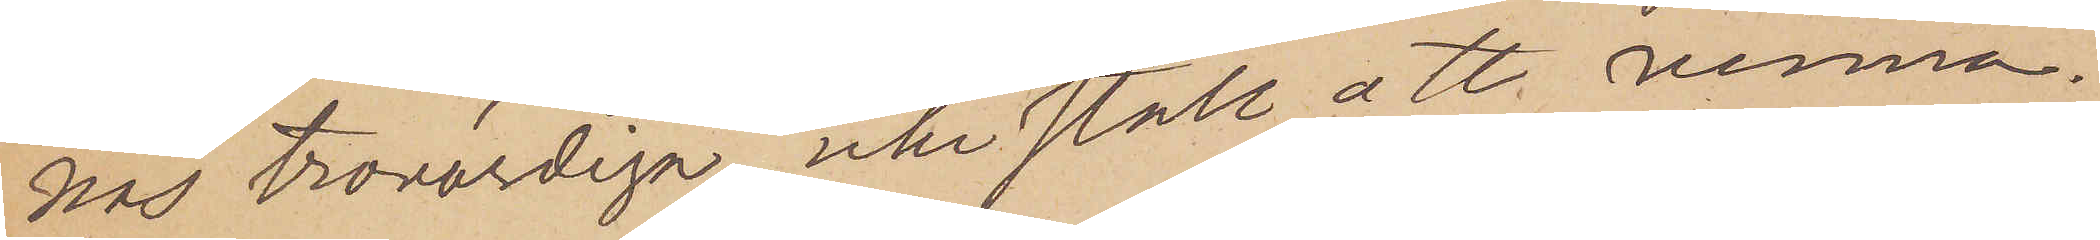nas trovärdiga, icke ställ att vinna.
